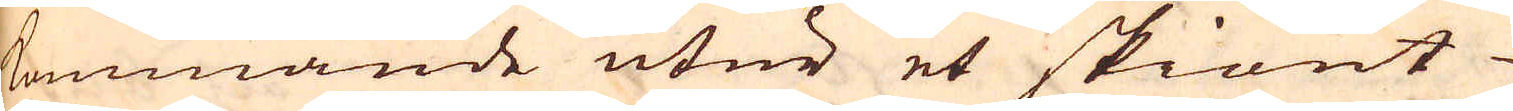kommande utur et skiönt
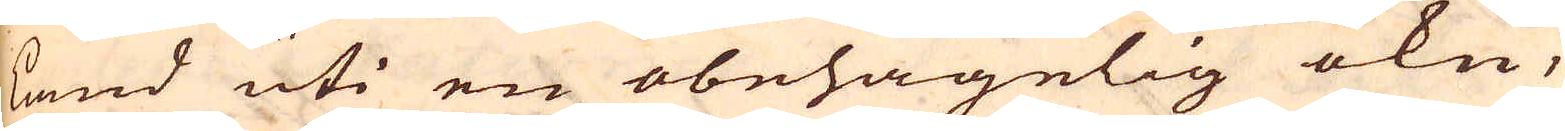land uti en obehagelig ökn,
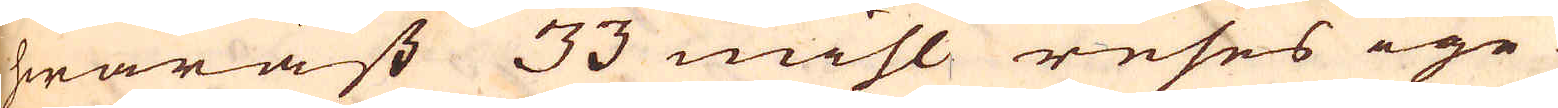hwaräst 33 mihl reses ige-
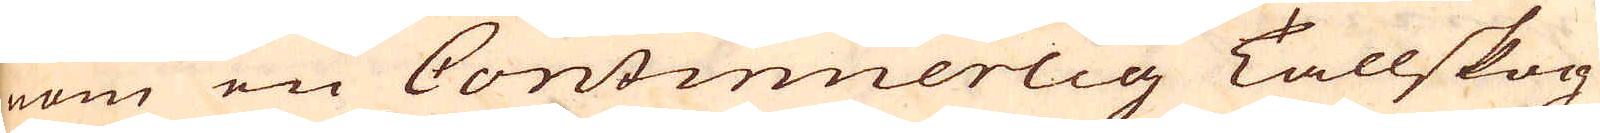nom en Continuerlig Tallskog
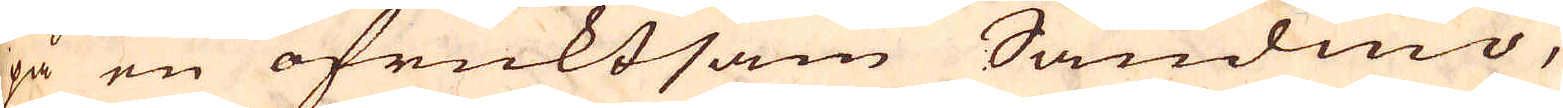på en ofruktsam Sandmo,
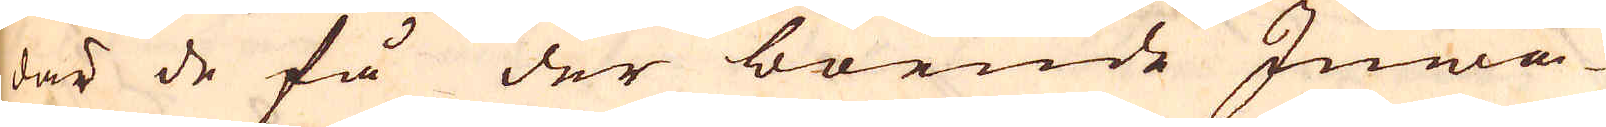där de få der boende Inwå-
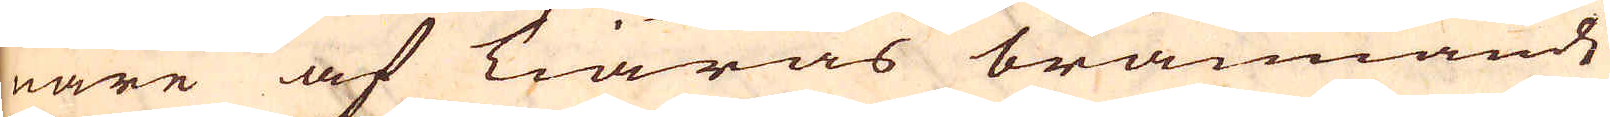nare af Tiäras brännande
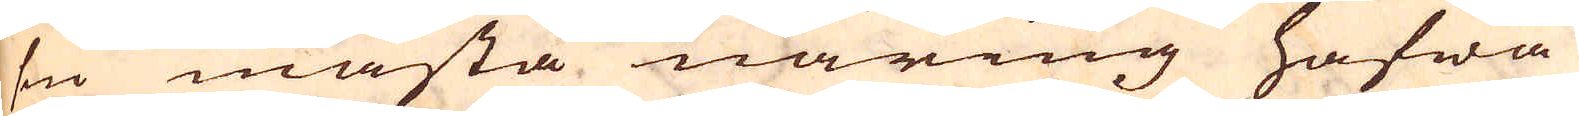sin mästa näring hafwa
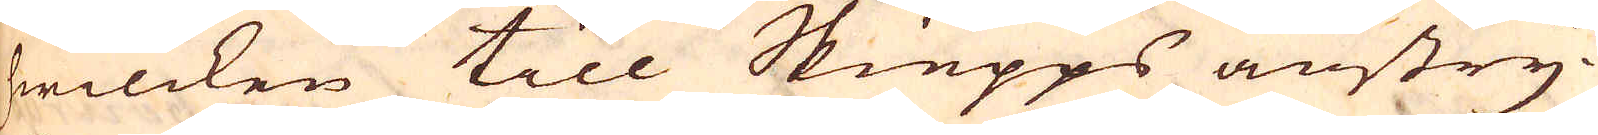hwilcken till Skiepps anstry-
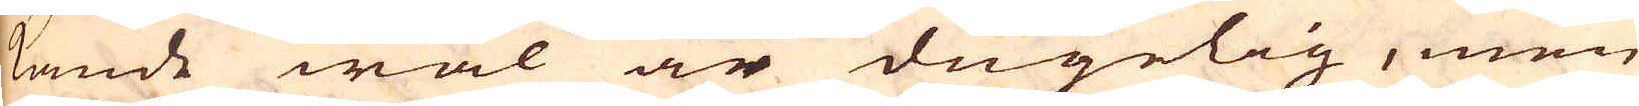kande wäl är dugelig, men
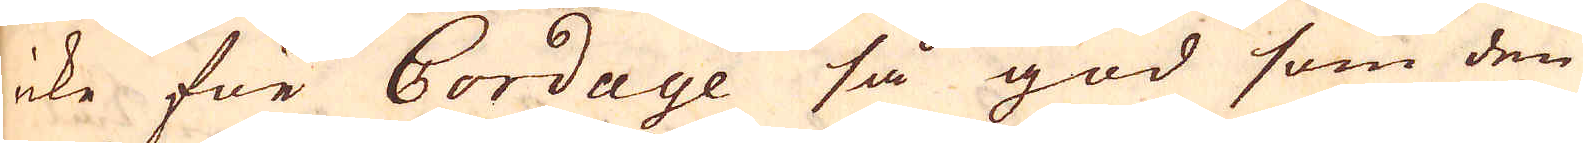icke för Cordage så god som den
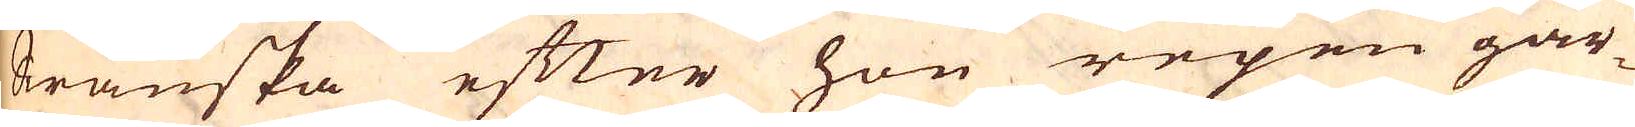Swänska efter hon repen gär-
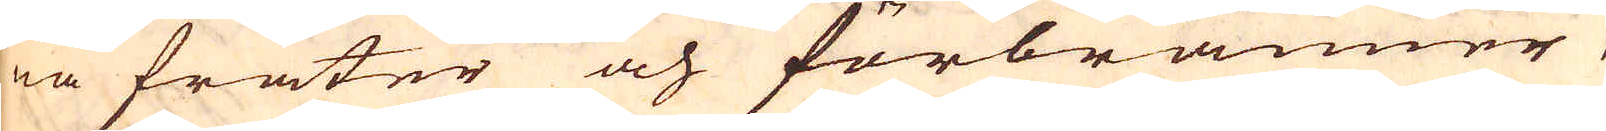na fräter och förbränner,
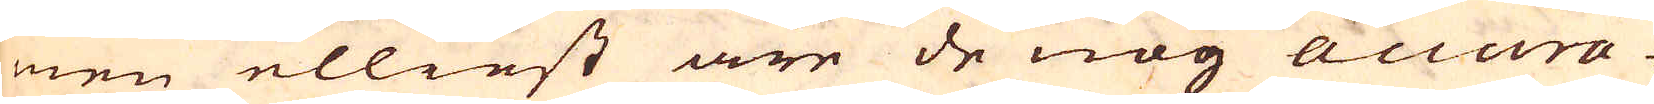men elliest äre de nog accura-
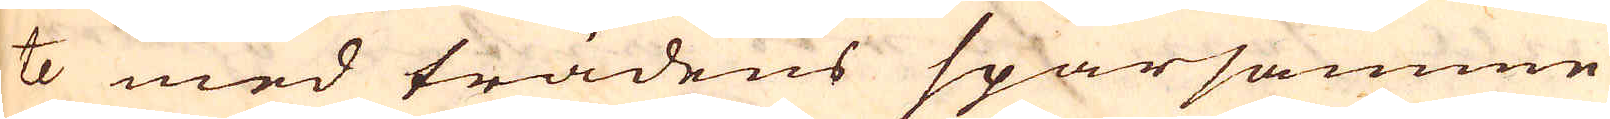te med trädens sparsamme
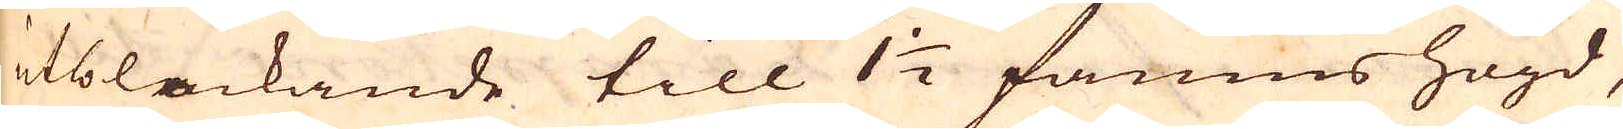utblackande till 1 1/2 famns högd,
